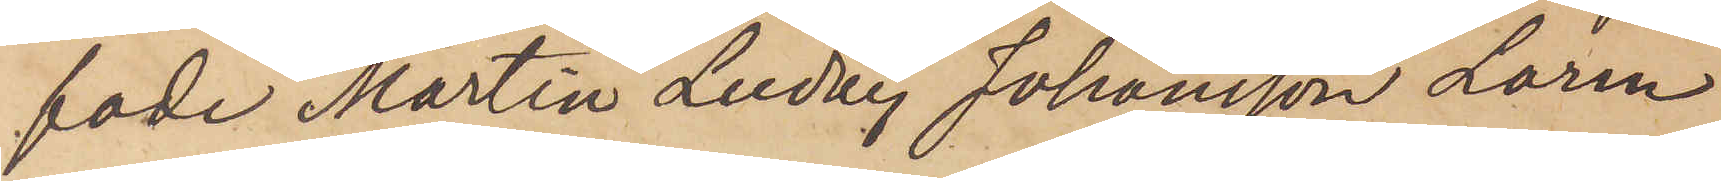fade Martin Ludvig Johansson Larm
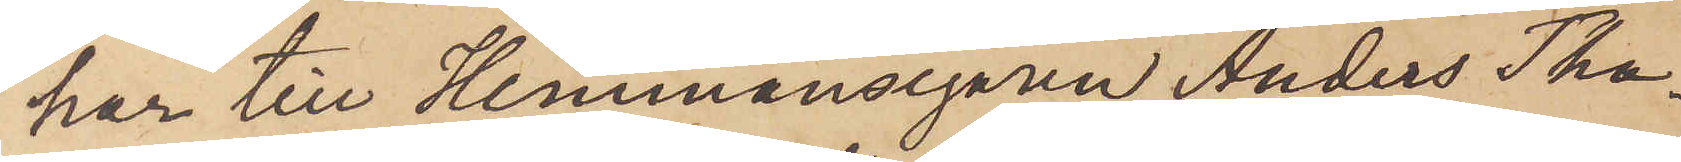har till Hemmansegaren Anders Tha¬
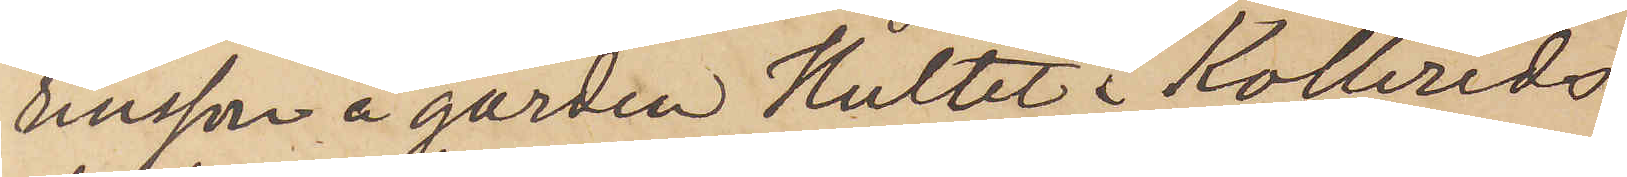linsson å gården Hultet i Kollereds
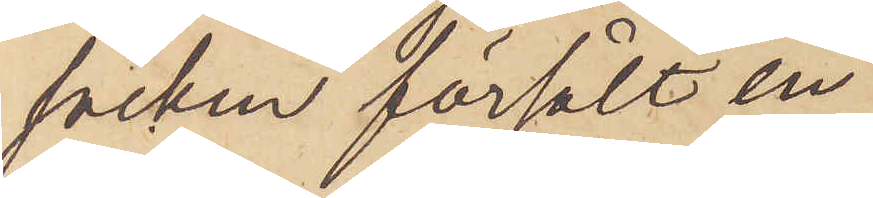socken försålt en
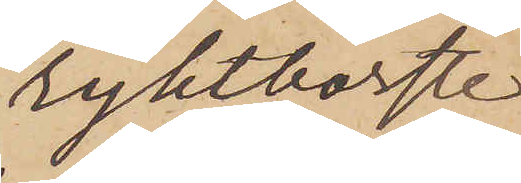ryktborste
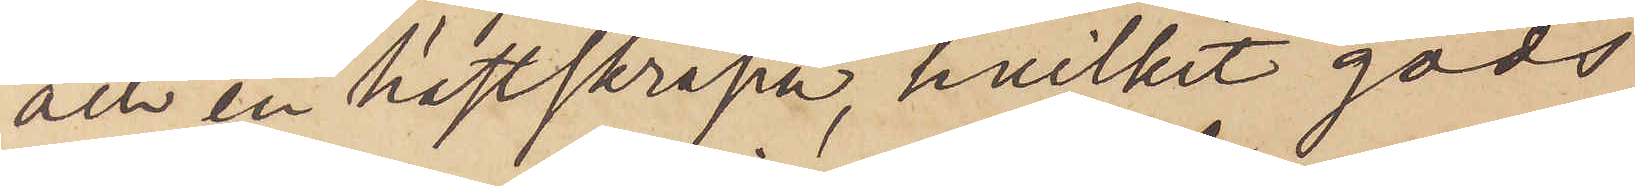och en hästskrapa, hvilket gods
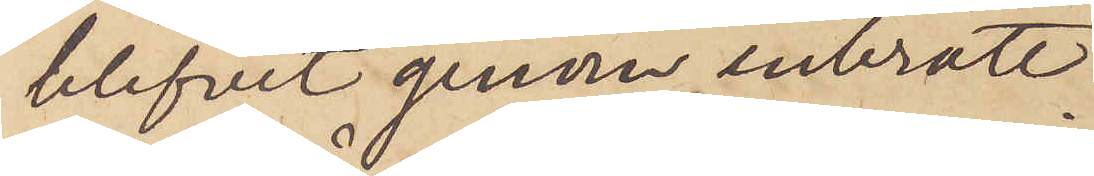blifvit genom inbrott
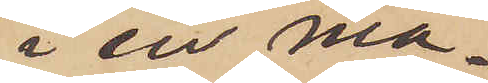i en ma¬
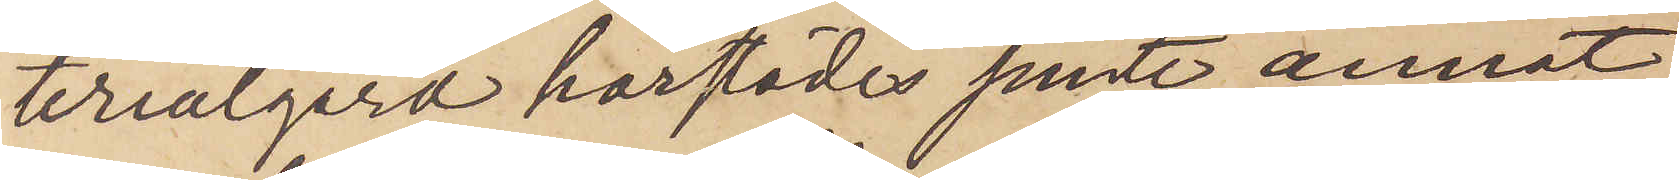terialgård härstädes jemte annat
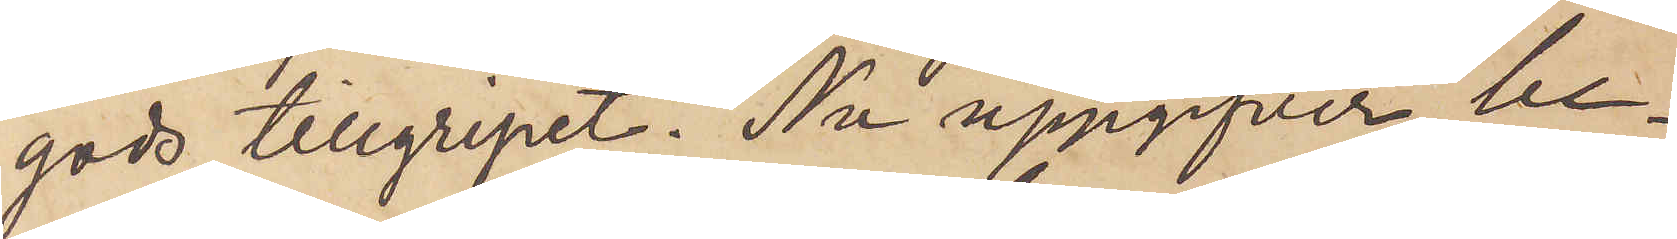gods tillgripet. Nu uppgifver be¬
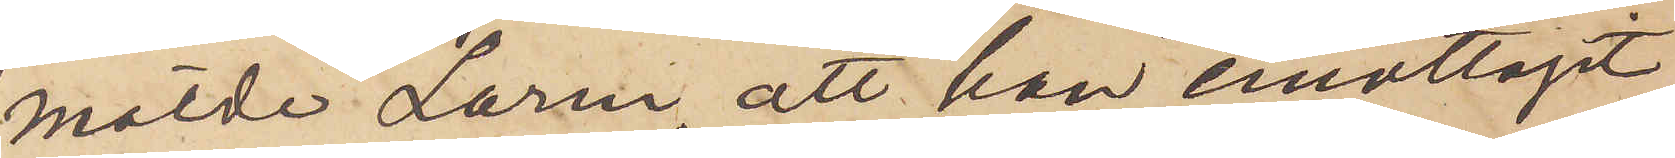mälde Larm, att han emottagit
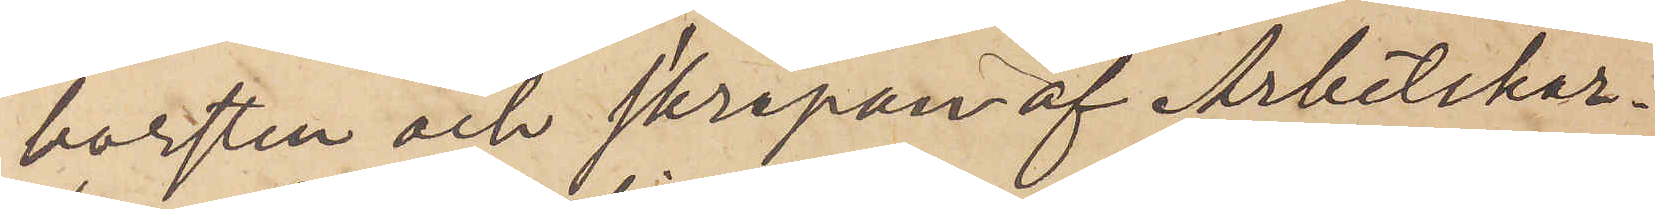borsten och skrapan af Arbetskar¬
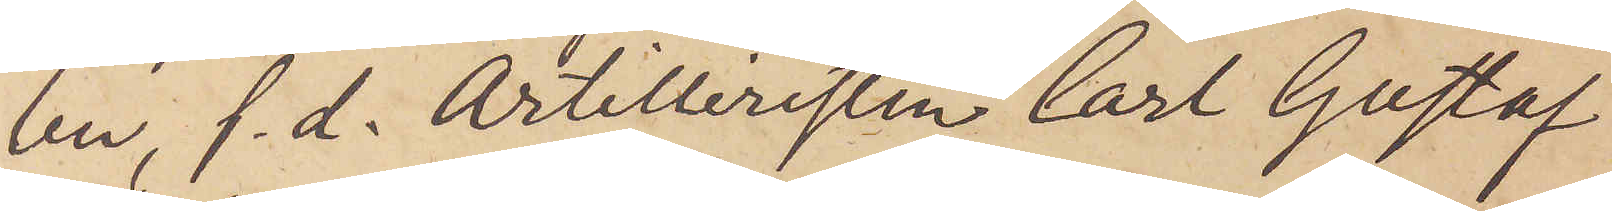len, f. d. Artilleristen Carl Gustaf
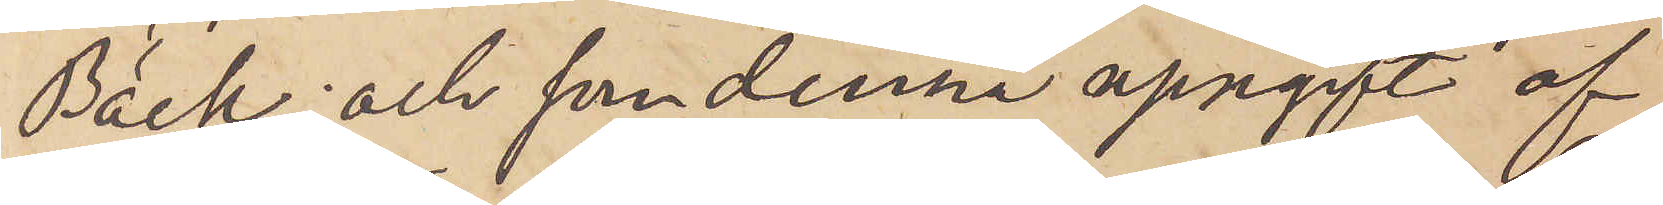Bäck, och som denna uppgift af
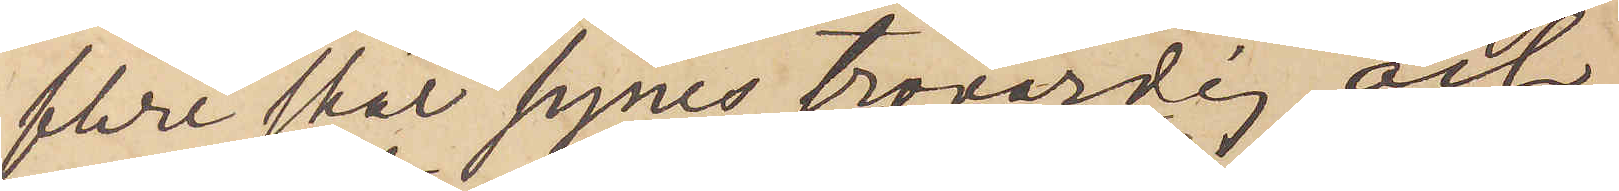flere skäl synes trovärdig och
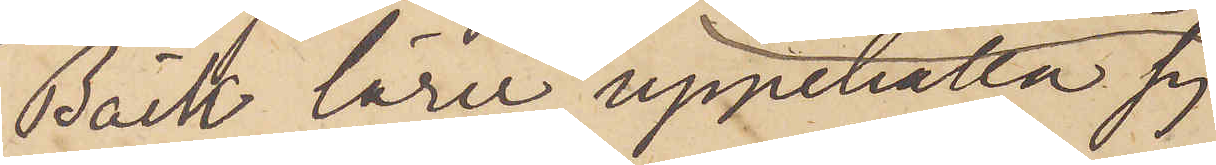Bäck lärer uppehålla sig
